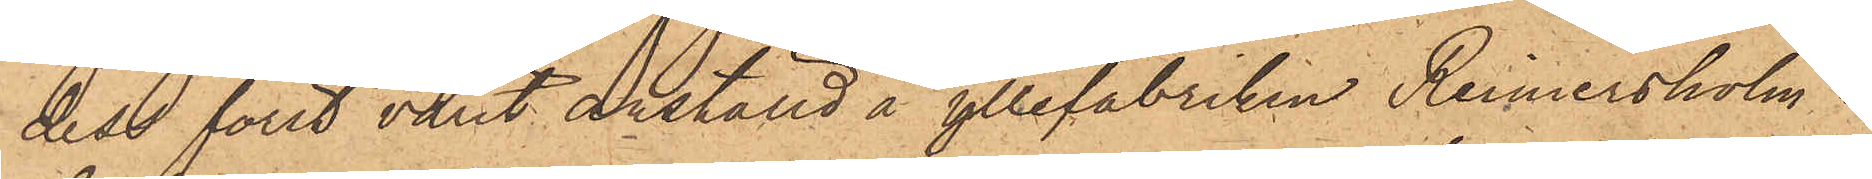dess förut varit anställd å yllefabriken Reimersholm i
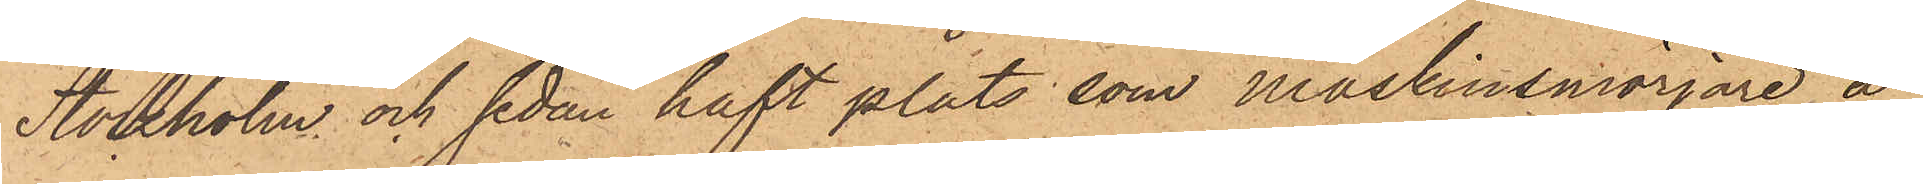Stockholm och sedan haft plats, som maskinsmörjare å
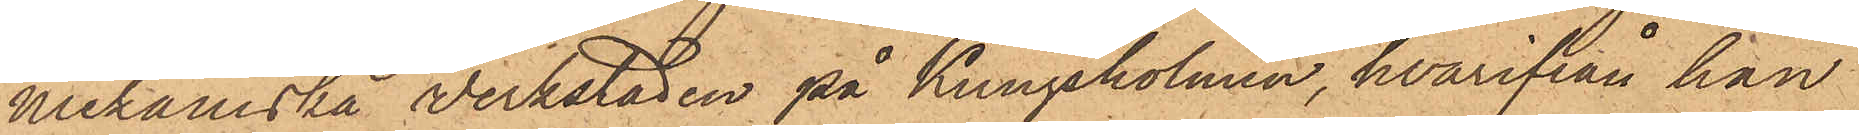mekaniska verkstaden på Kungsholmen, hvarifrån han
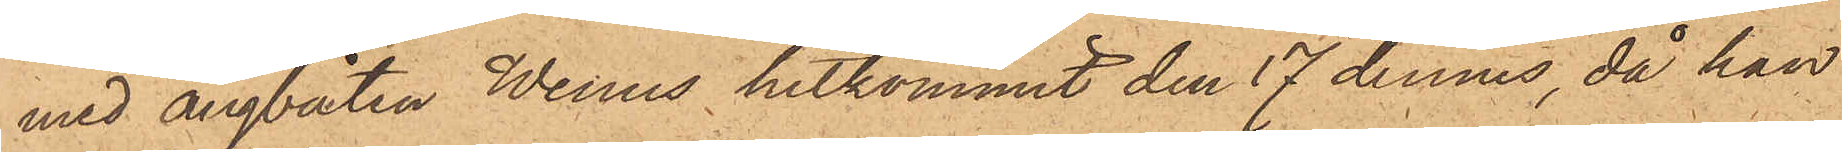med ångbåten Wenus hitkommit den 17 dennes, då han
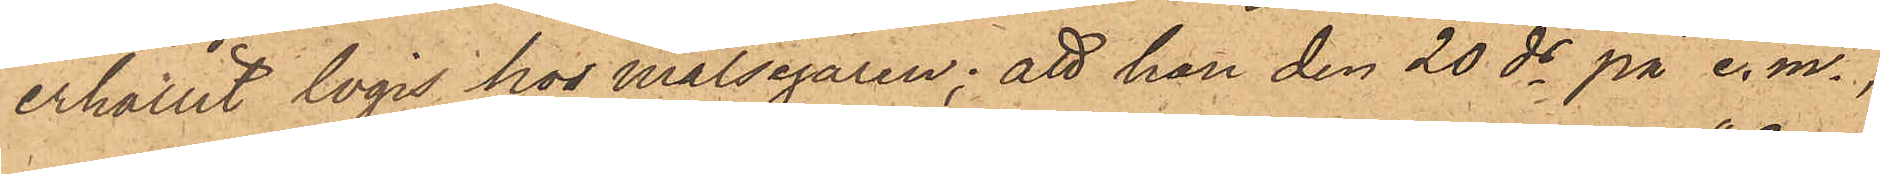erhållit logis hos målsegaren; att han den 20 ds på e. m.,
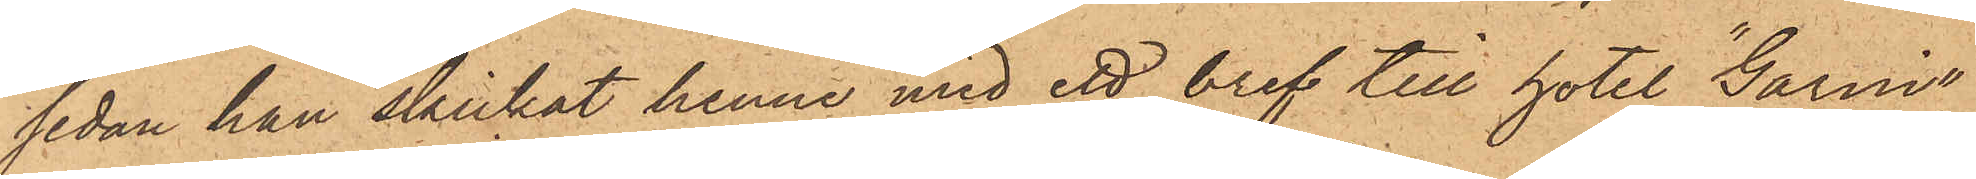sedan han skickat henne med ett bref till hotel "Garni",
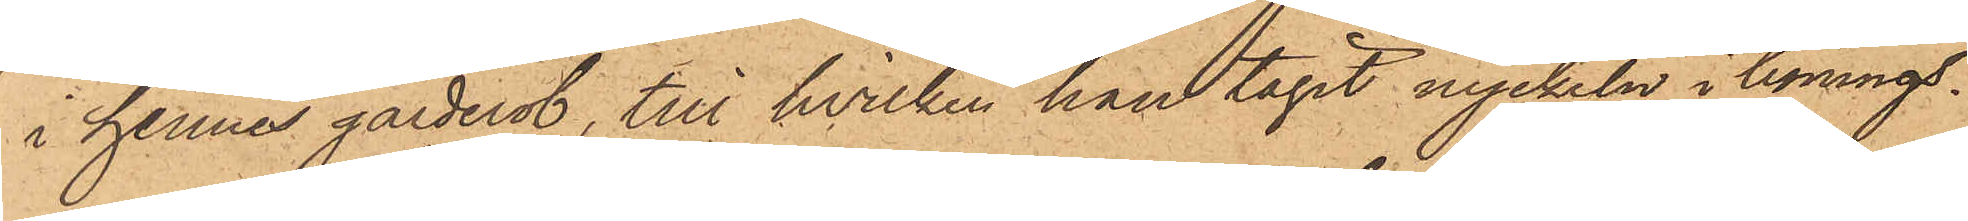i hennes garderob, till hvilken han tagit nyckeln i bonings
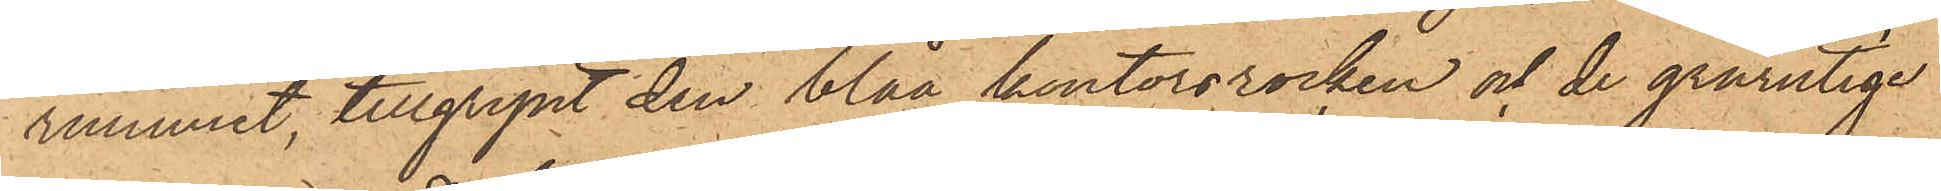rummet, tillgripit den blåa kontorsrocken och de grårutige
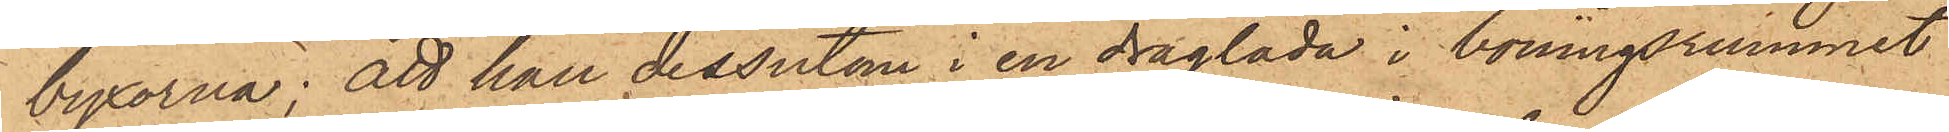byxorna; att han dessutom i en draglåda i boningsrummet
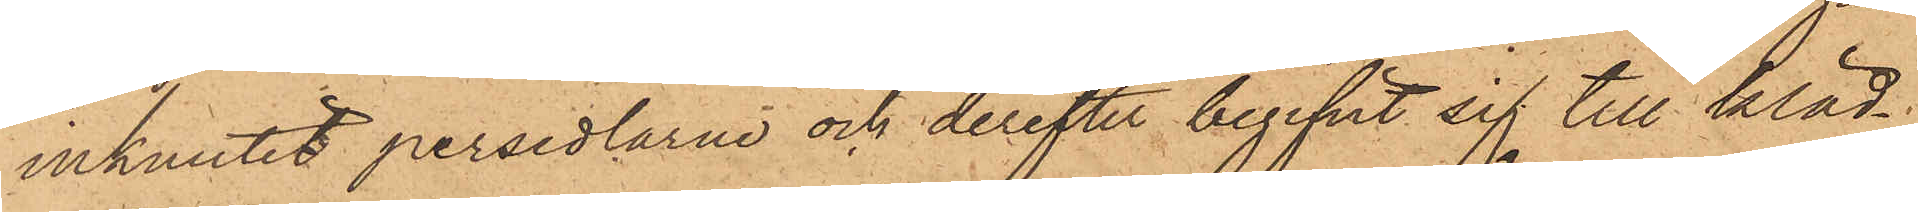inknutit persedlarne och derefter begifvit sig till kläd¬
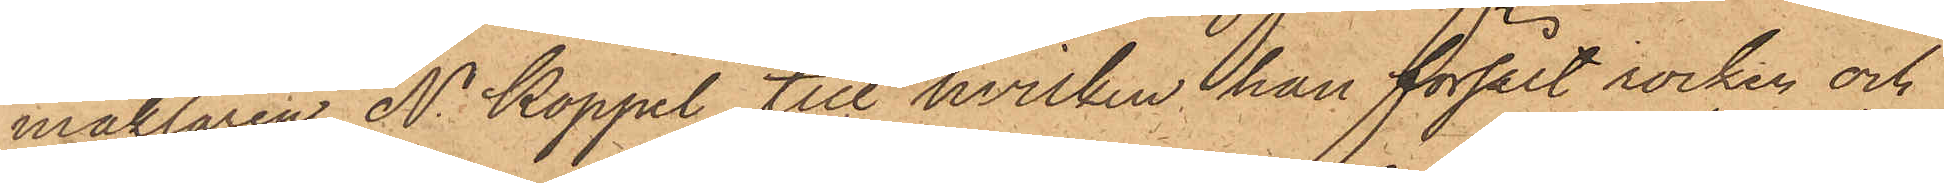mäklaren N. Koppel, till hvilken han försålt rocken och
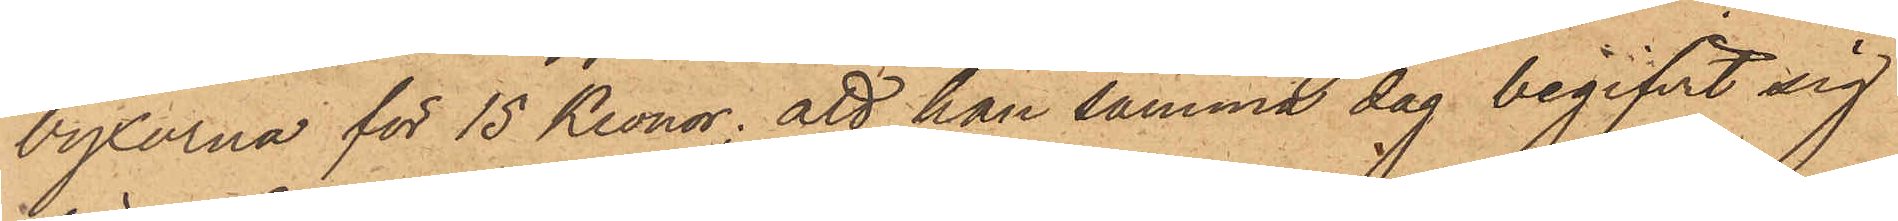byxorna för 15 Kronor; att han samma dag begifvit sig
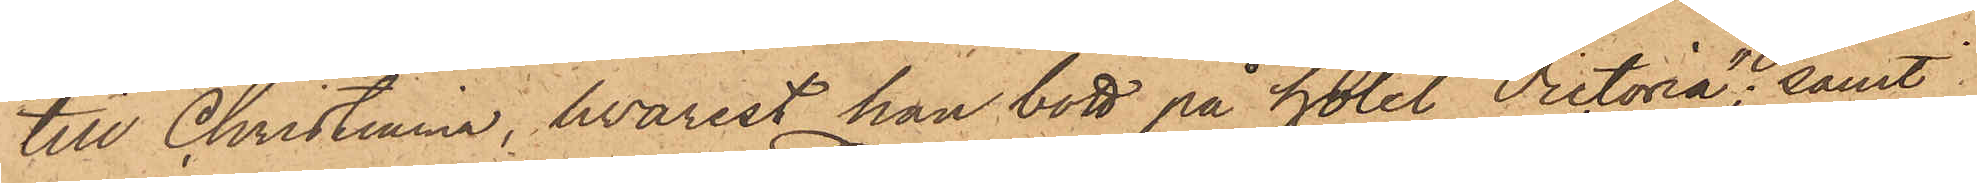till Christiania, hvarest han bott på hotel "Victoria"; samt
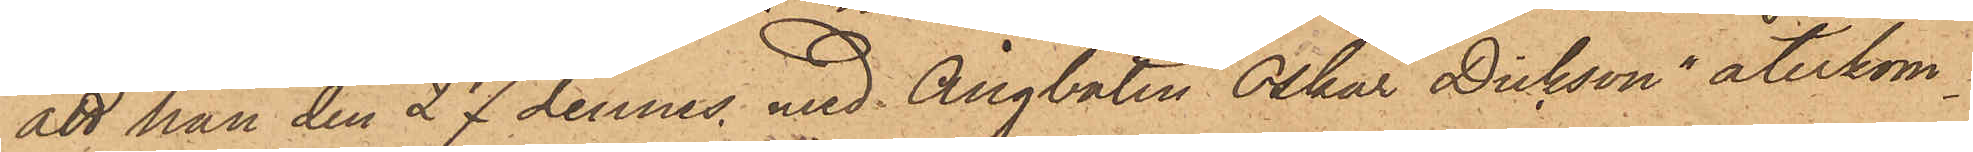att han den 27 dennes med Ångbåten "Oskar Dickson" återkom¬
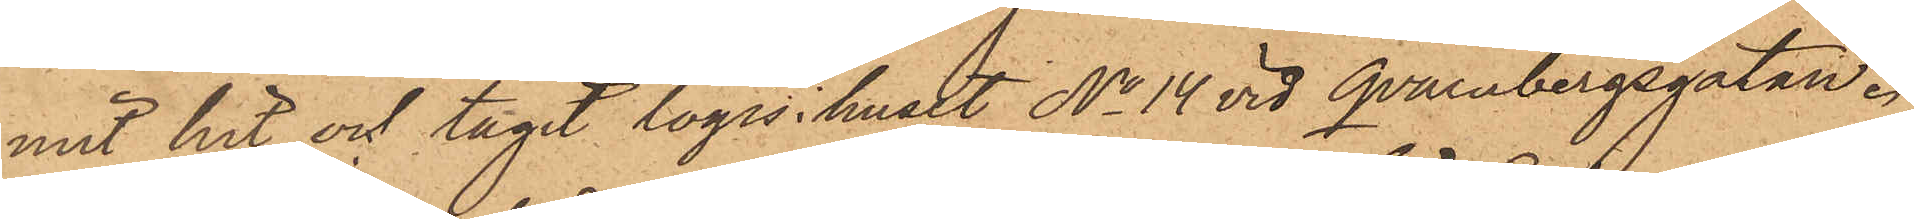mit hit och tagit logis i huset No 14 vid Qvarnbergsgatan.
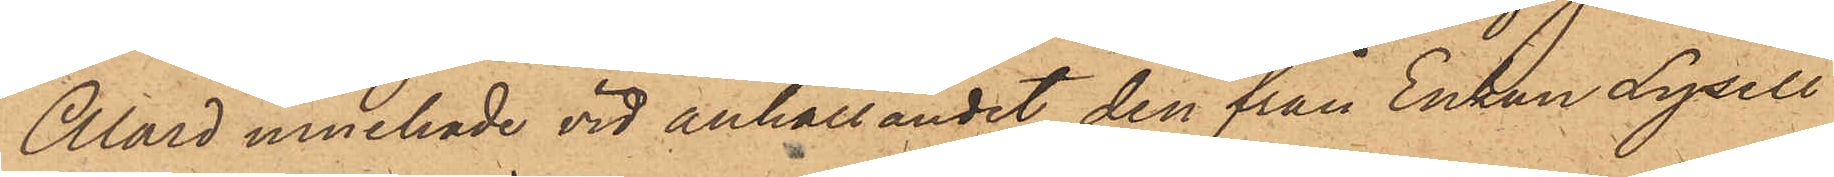Alard innehade vid anhållandet den från Enkan Lysell
